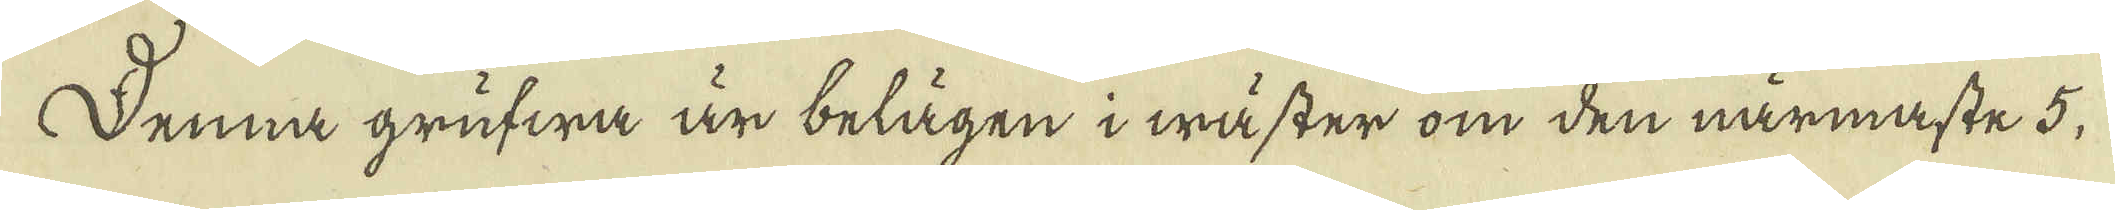Denna grufwa är belägen i wäster om den närmaste 5,
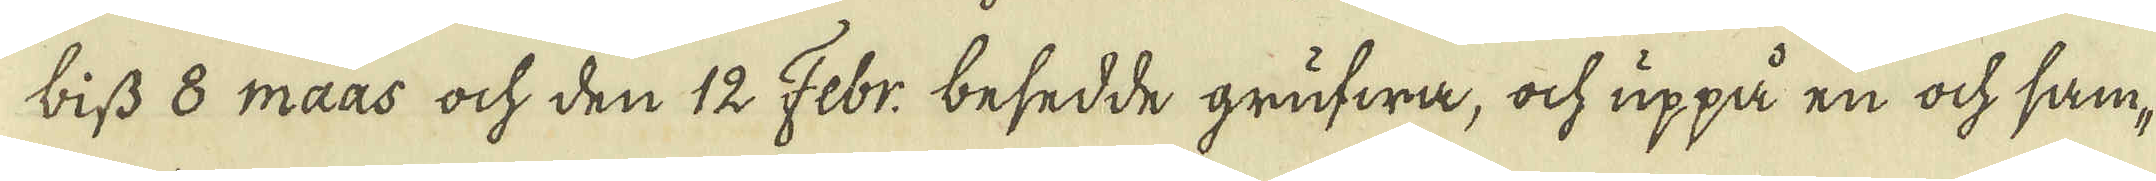biss 8 maas och den 12 Febr, besedde grufwa, ock uppå en ock sam-
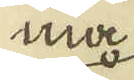ma
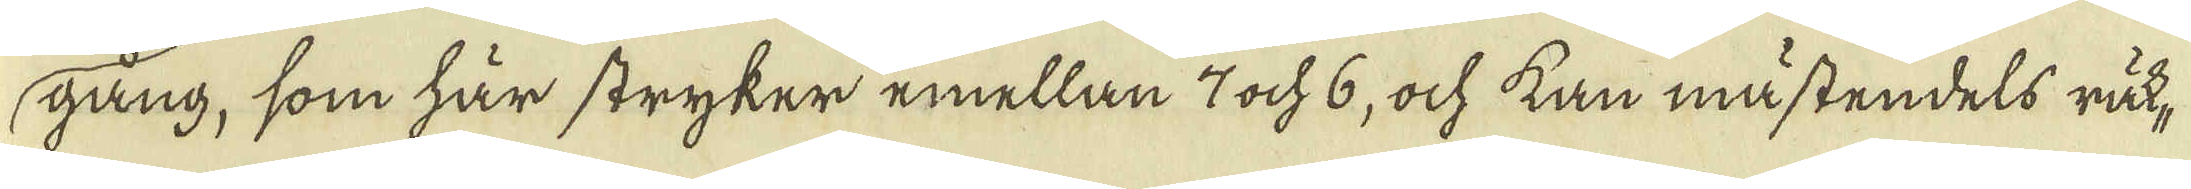gång, som här stryker emellan 7 ock 6, ock kan mästendels räk-
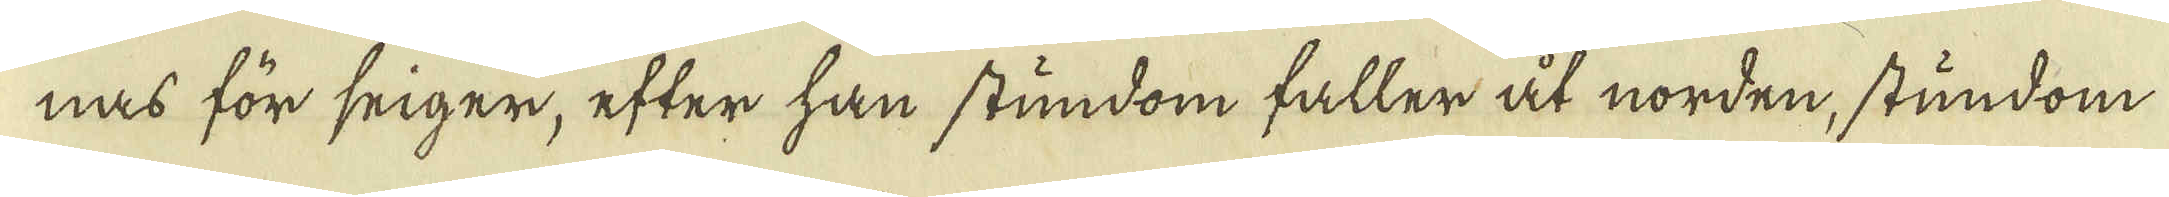nas för seiger, efter han stundom faller åt norden, stundom
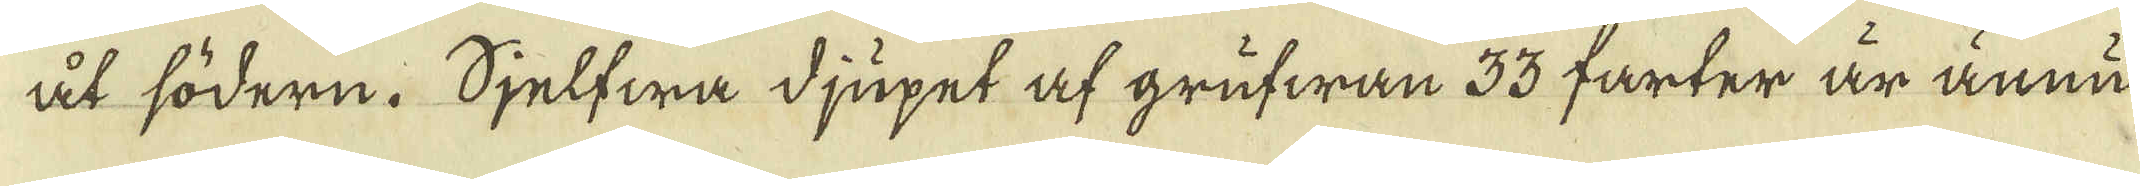åt södern. Sjelfwa djupet af grufwan 33 farter är ännu
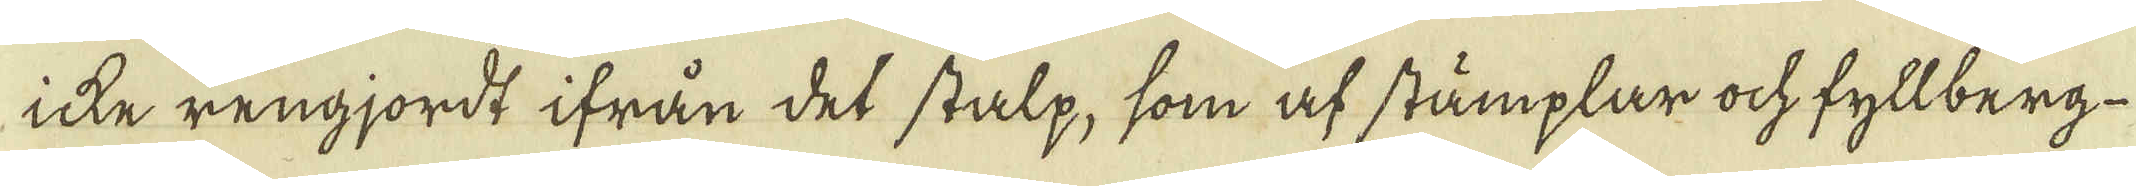icke rengjordt ifrån det stalp, som af stämplar ock fyllberg-
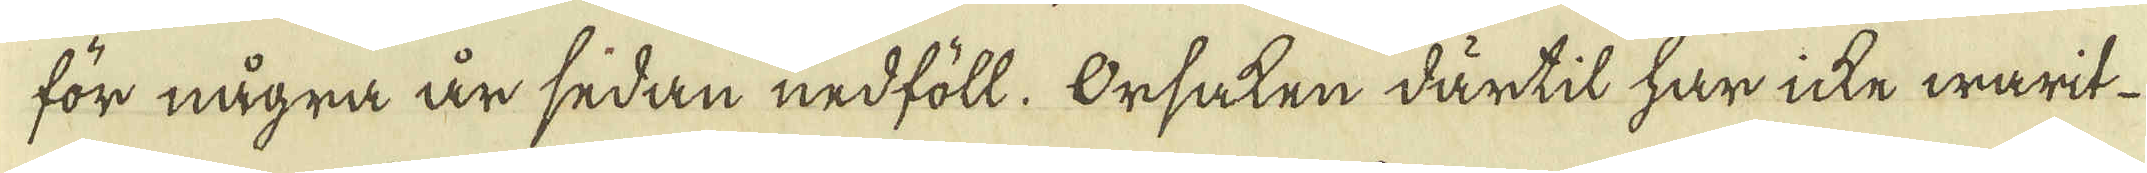för några år sedan nedföll. Orsaken därtil har icke warit
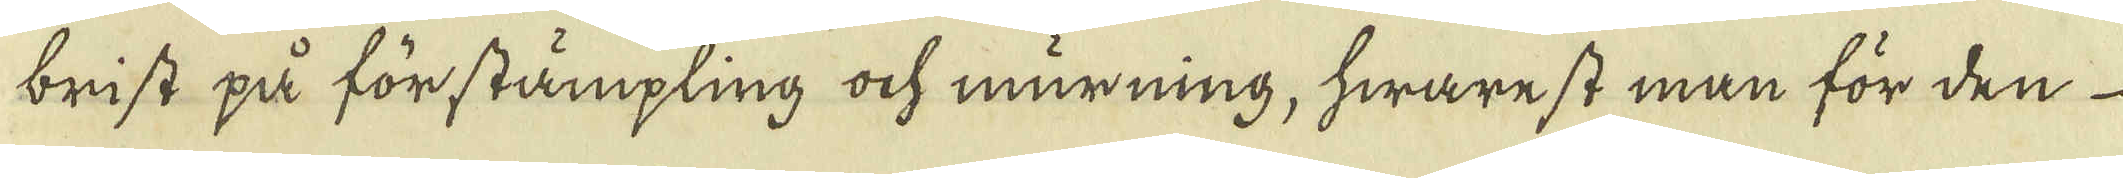brist på förstämpling ock murning, hwarest man för den
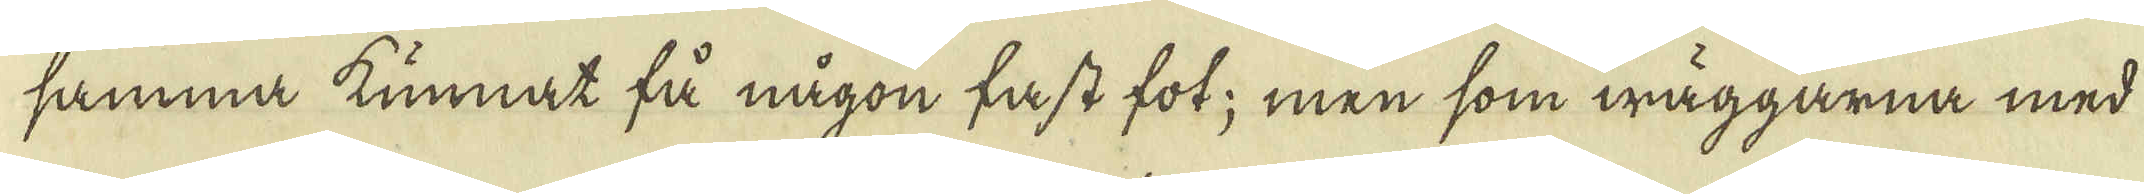samma kunnat få någon fast fot; men som wäggarna med
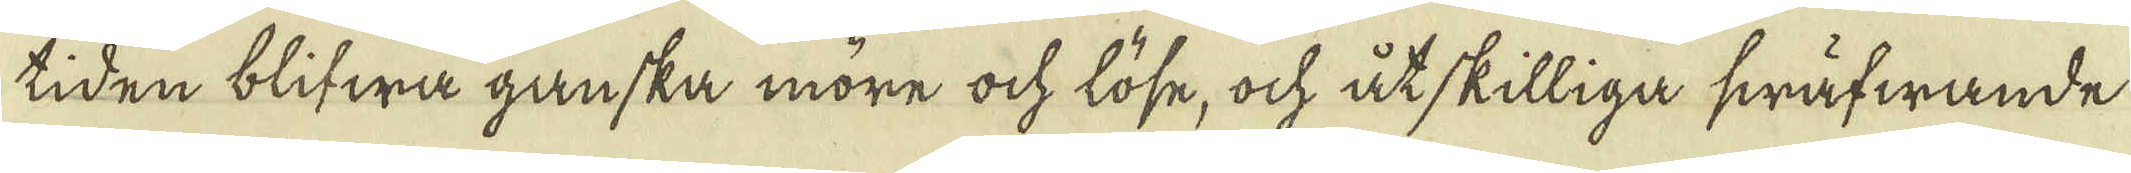tiden blifwa ganska möre ock löse, och åtskilliga swäfwande
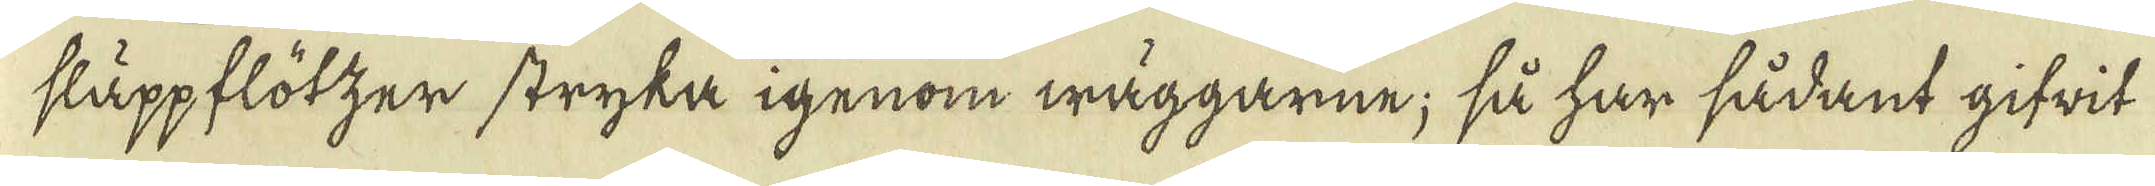släppflötzer stryka igenom wäggarne; så har sådant gifwit
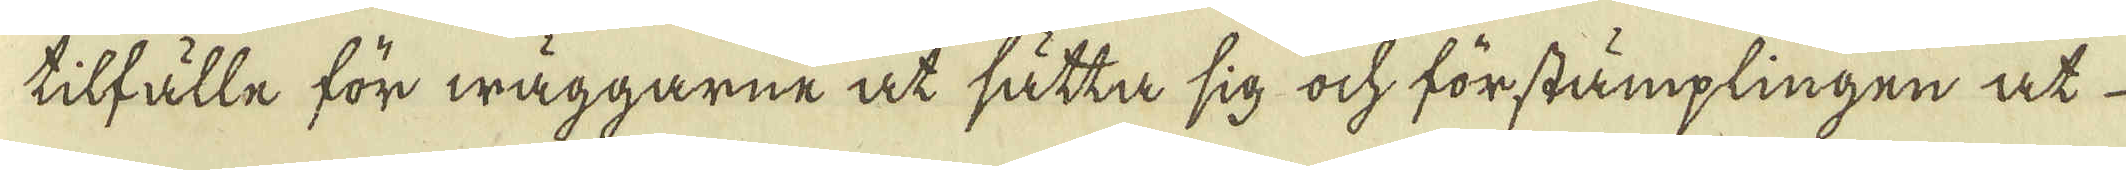tilfälle för wäggarne at sätta sig ock förstämplingen at
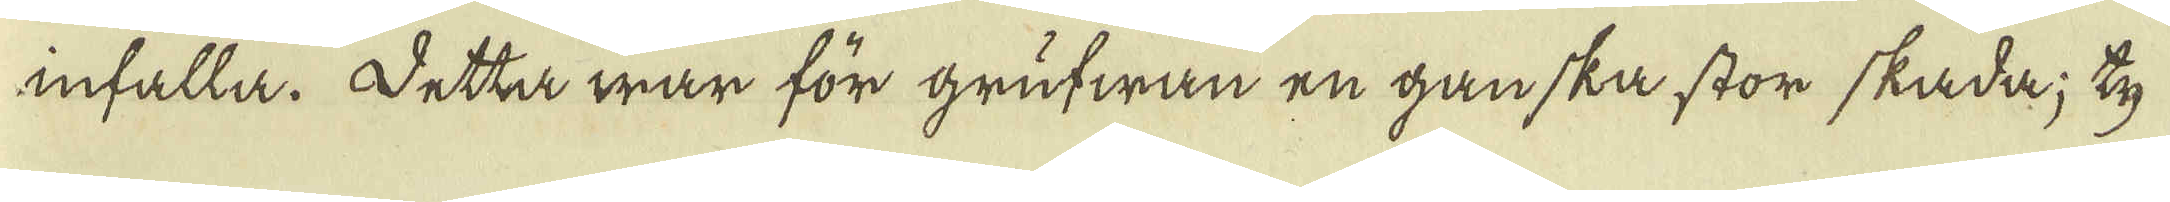infalla. Detta war för grufwan en ganska stor skada; ty
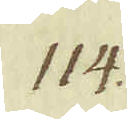114.
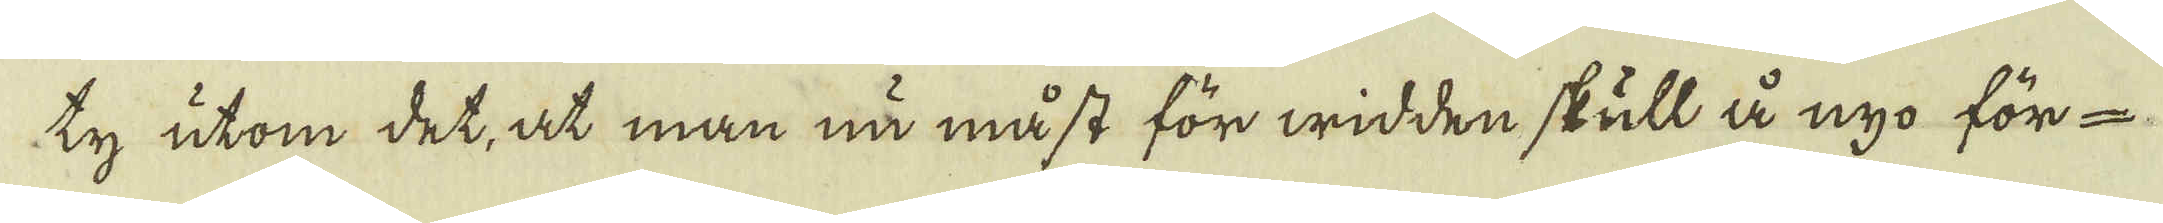ty utom det, at man nå måst för widden skull å nyo för-
